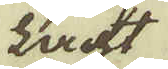Lacht
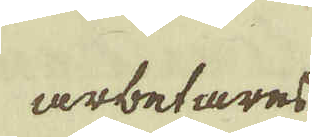arbetares
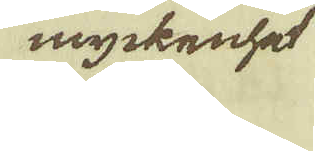myckenhet
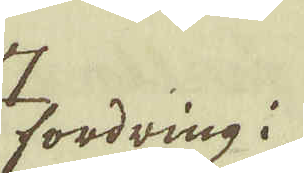fordring i
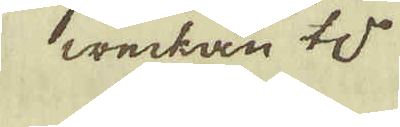weckan t
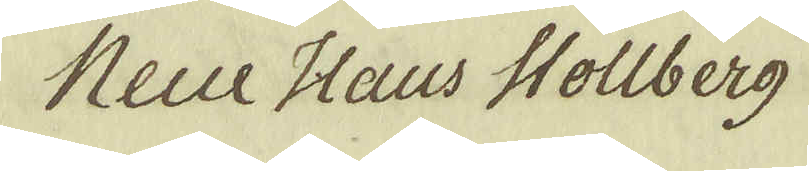Neue Haus Stollberg
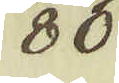80
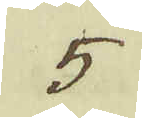5
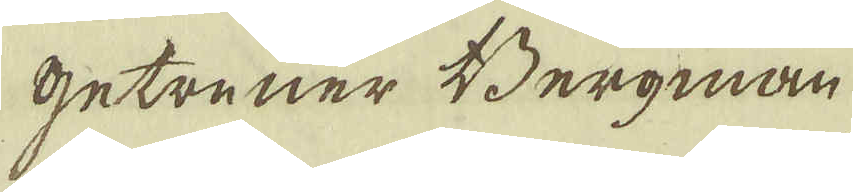getreuer Bergman
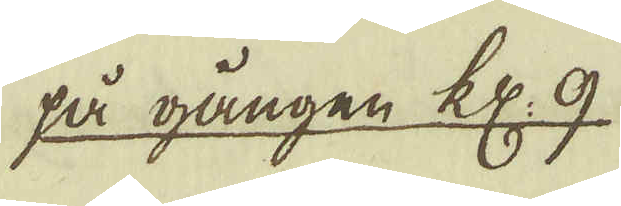på gången kl: 9.
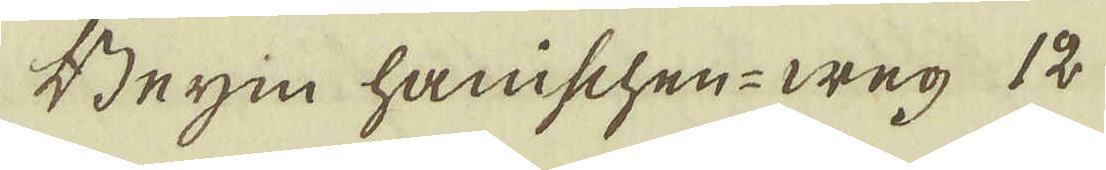Begin hanischen-weg 12
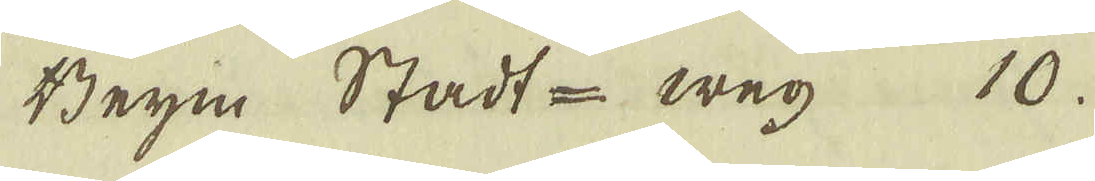Beym Stadt-weg 10.
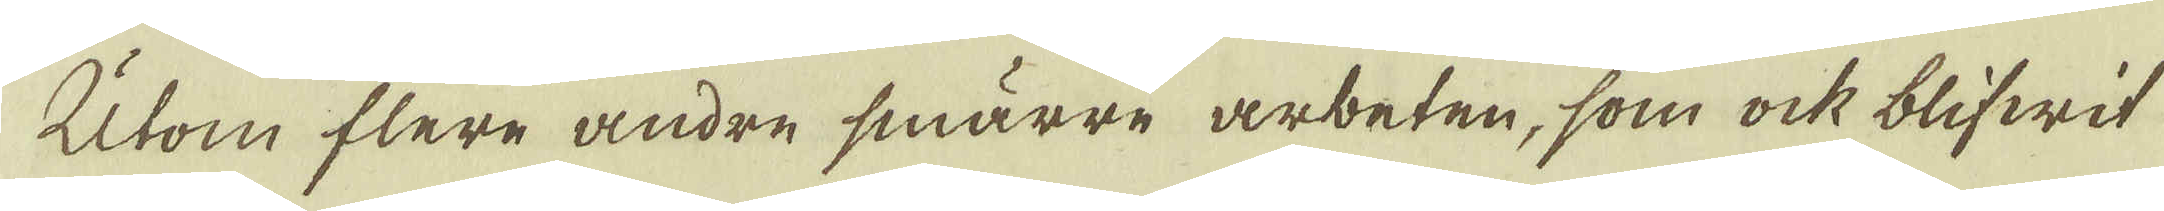Utom flere andre smärre arbeten, som ock blifwit
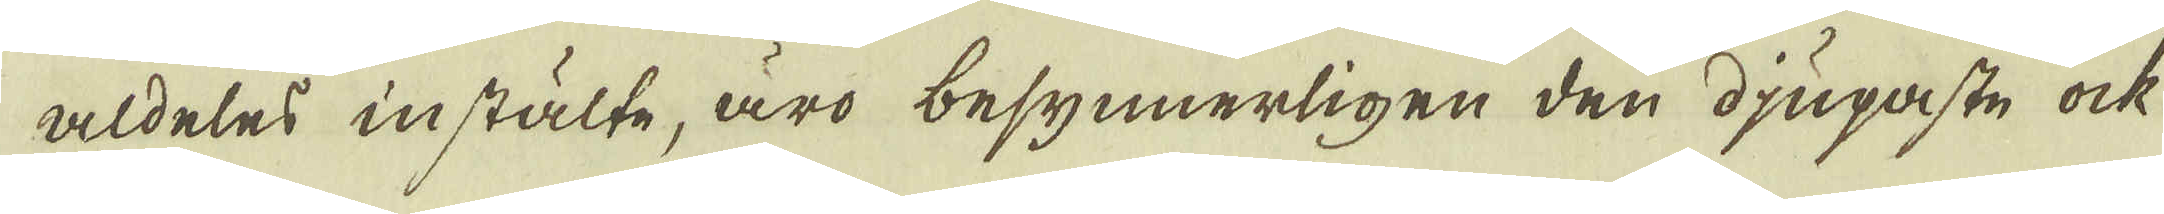aldeles instälte, äro besynnerligen den djupaste ock
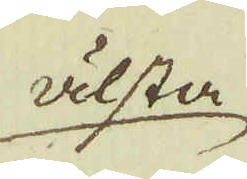älsta
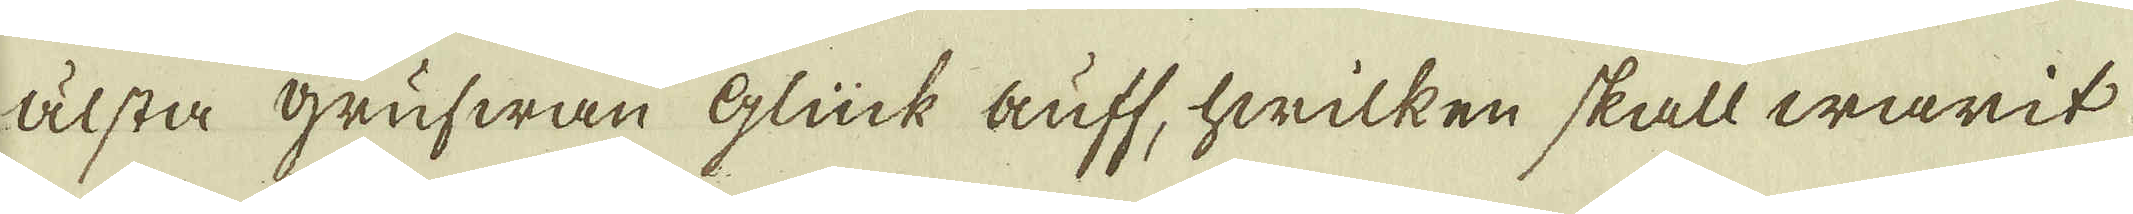älsta grufwan Glück auff, hwilken skall warit
